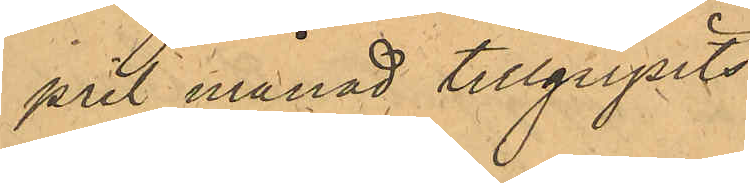pril månad tillgripits
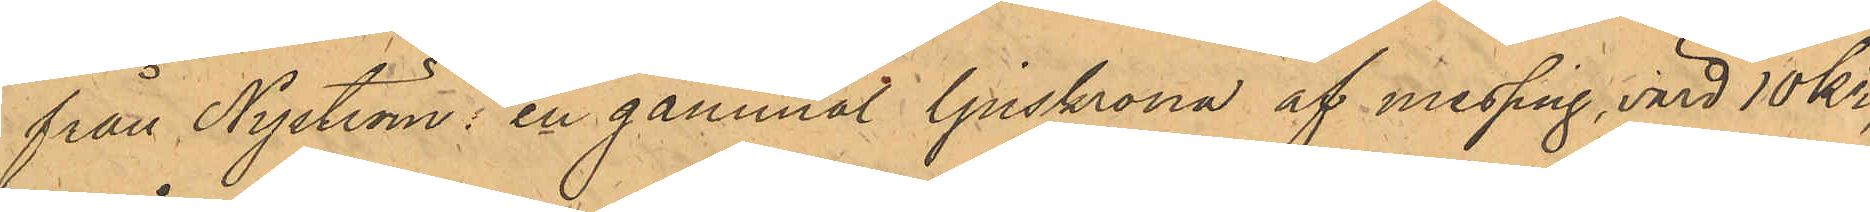från Nyström: en gammal ljuskrona af messing, värd 10 kr;
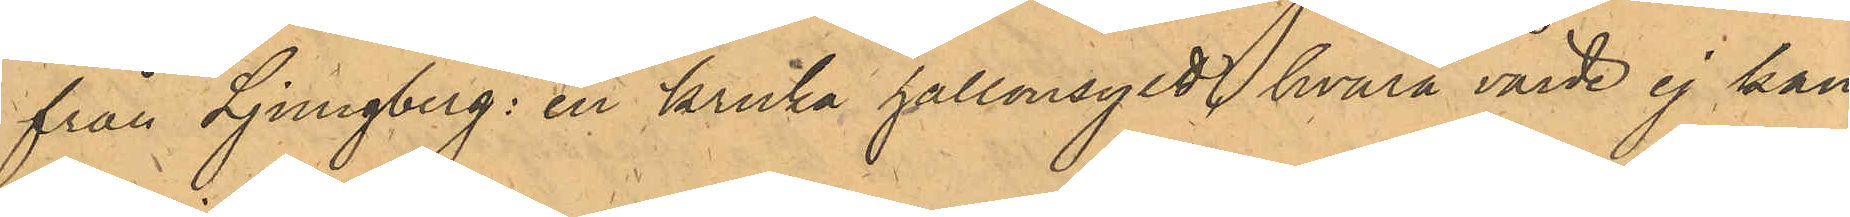från Ljungberg: en kruka hallonsylt hvarå värde ej kan
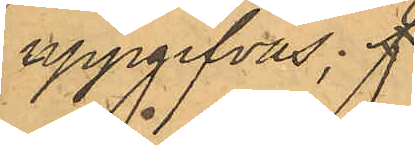uppgifvas; f
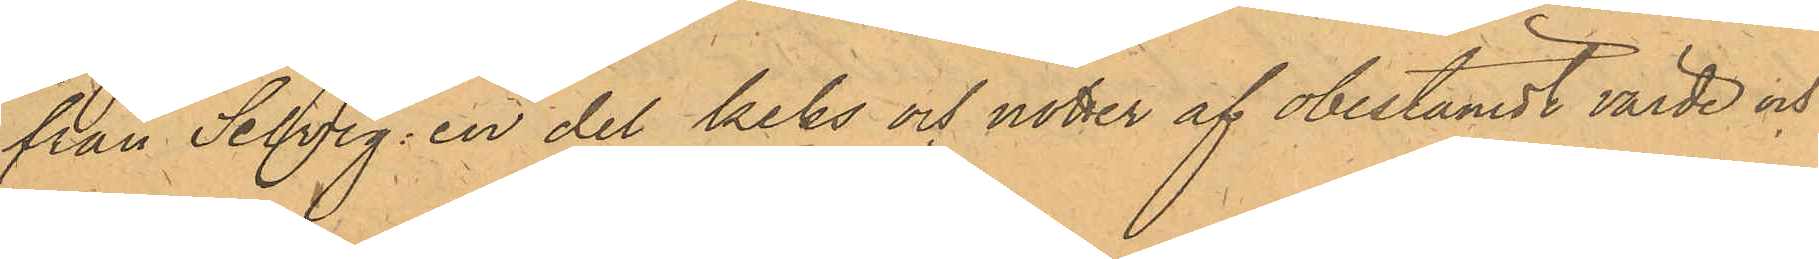från Selvig: en del keks och nötter af obestämdt värde och
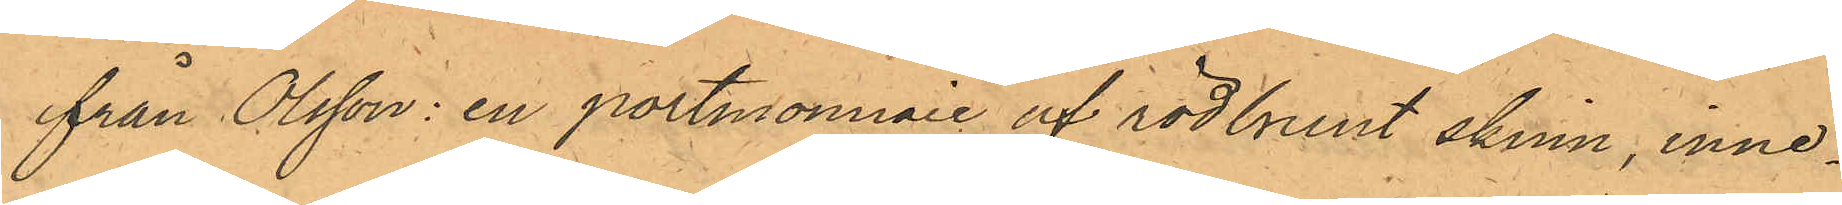från Olsson: en portmonnaie af rödbrunt skinn, inne¬
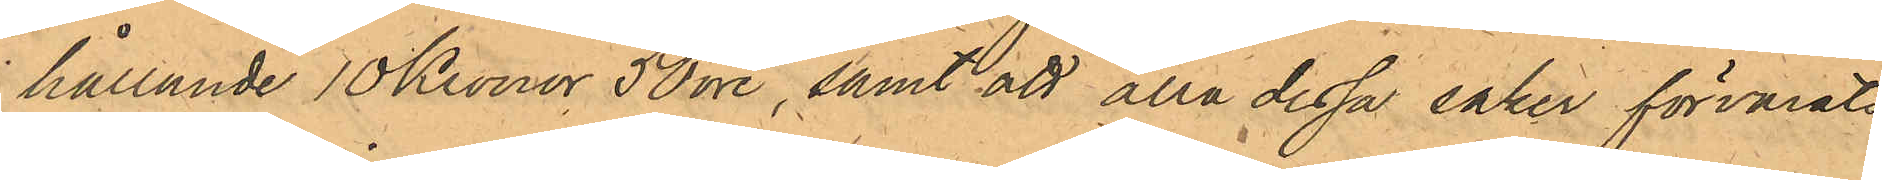hållande 10 Kronor 50 öre, samt att alla dessa saker förvarats
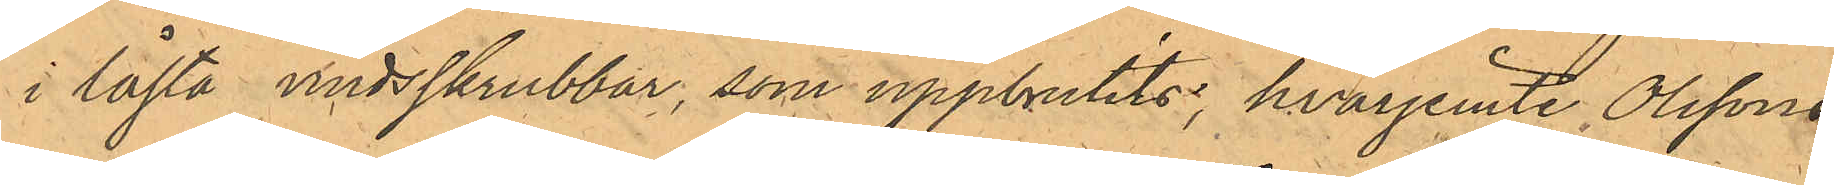i låsta vindsskrubbar, som uppbrutits; hvarjemte Olssons
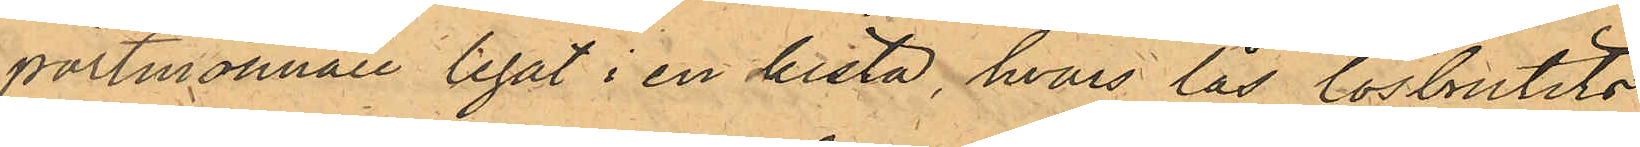portmonnaie legat i en kista, hvars lås lösbrutits;
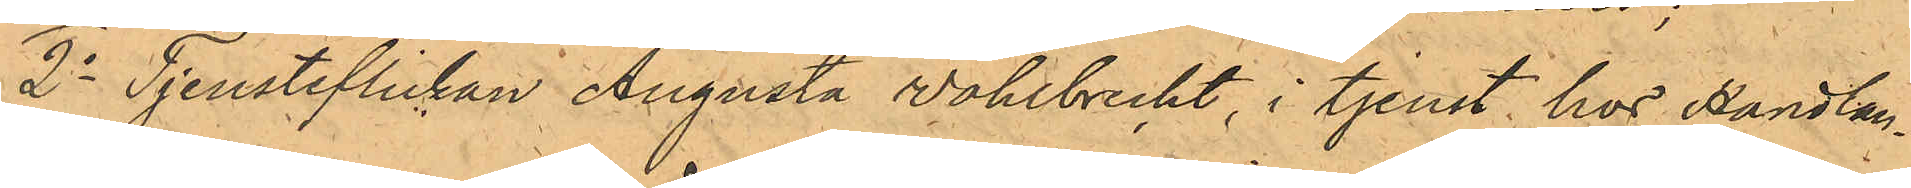2o Tjensteflickan Augusta Wohlbrecht, i tjenst hos Handlan¬
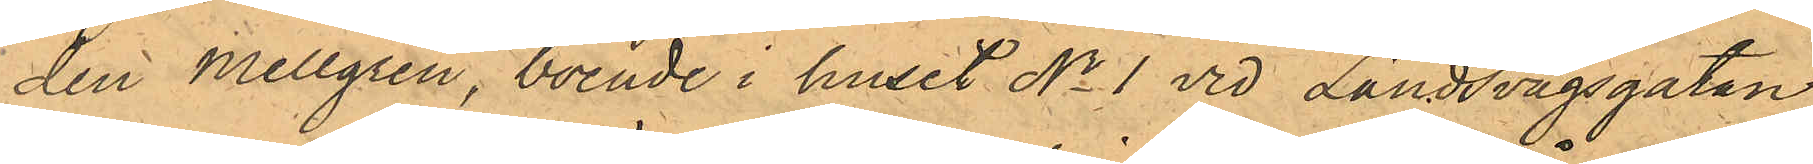den Mellgren, boende i huset No 1 vid Landsvägsgatan
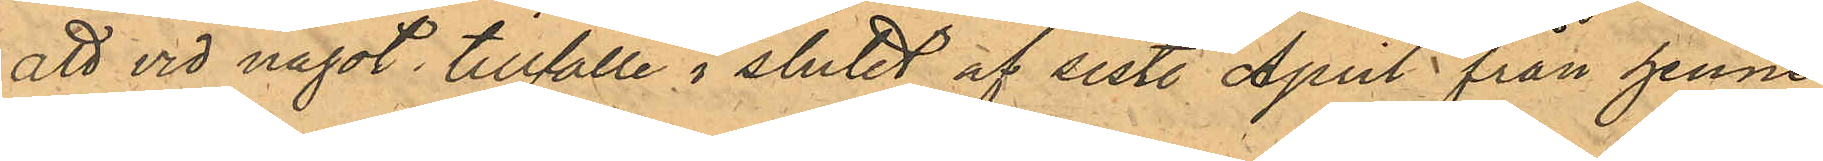att vid något tillfälle i slutet af sist. April från henne
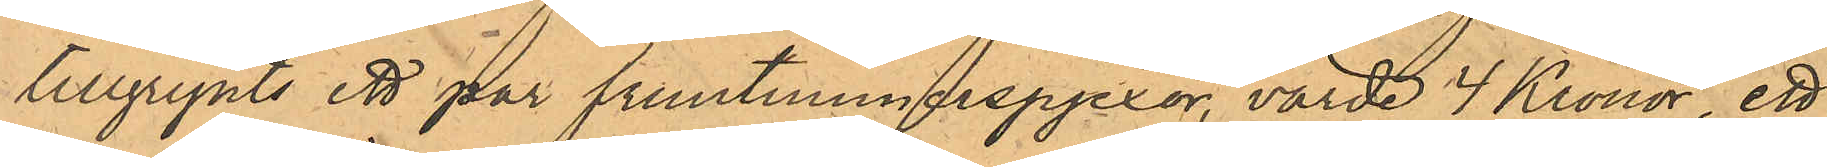tillgripits ett par fruntimmerspjexor, värde 4 Kronor, ett
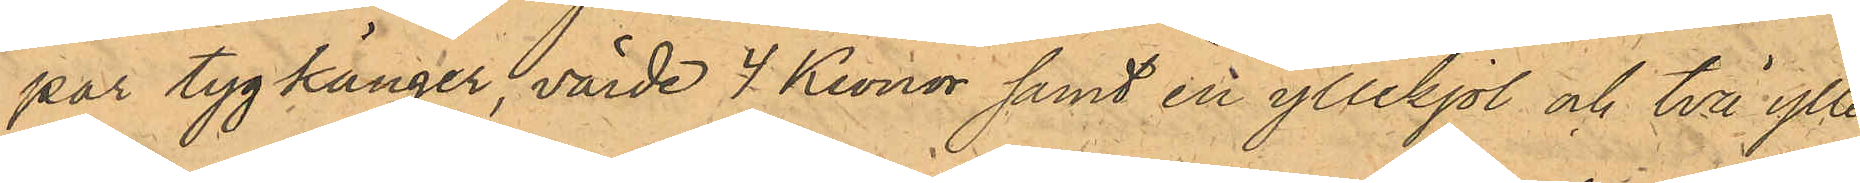par tygkänger, värde 4 Kronor samt en yllekjol och två ylle¬
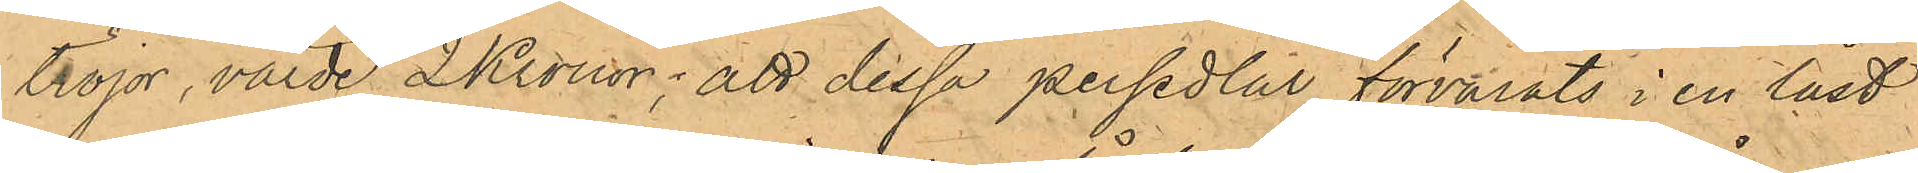tröjor, värde 2 Kronor; att dessa persedlar förvarats i en låst
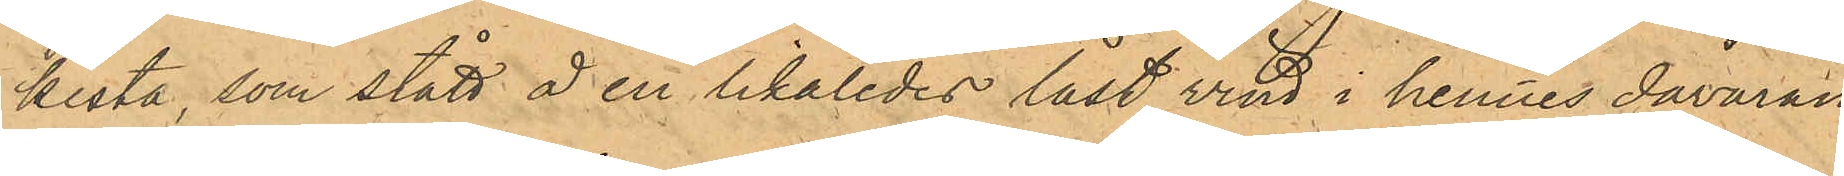kista, som stått å en likaledes låst vind i hennes dåvaran¬
